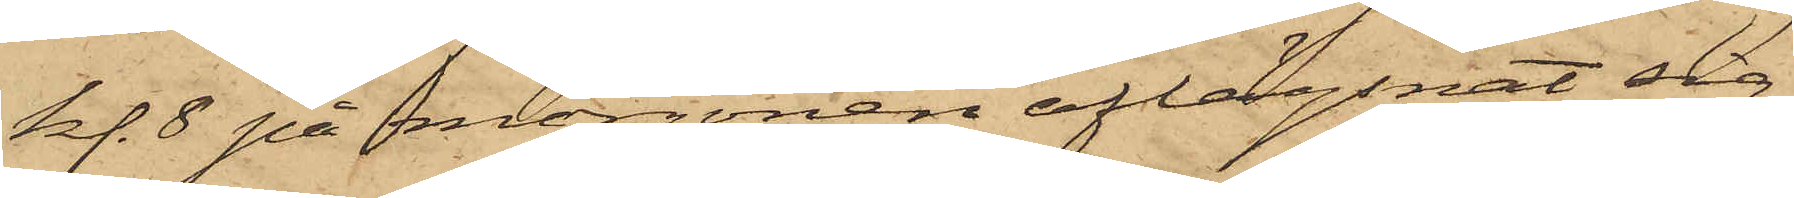kl. 8 på morgonen aflägsnat sig
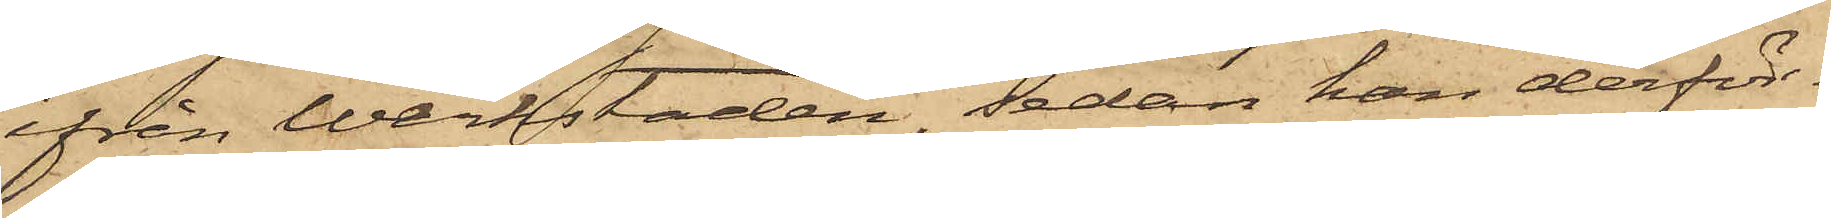ifrån Werkstaden, sedan han derför¬
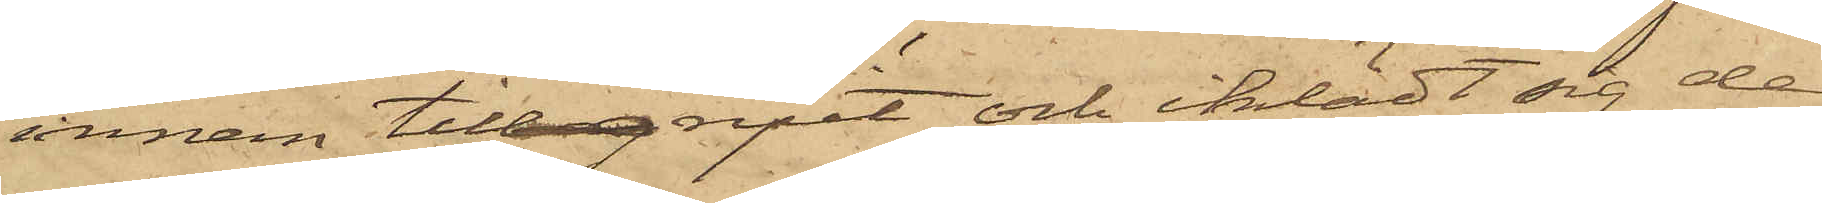innan tillgripit och iklädt sig de
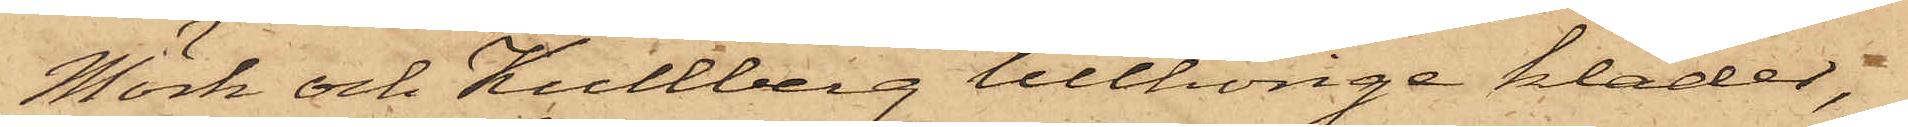Mörk och Kullberg tillhörige kläder,
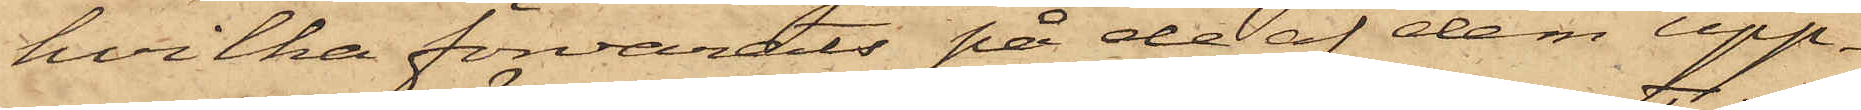hvilka förvarats på de af dem upp¬
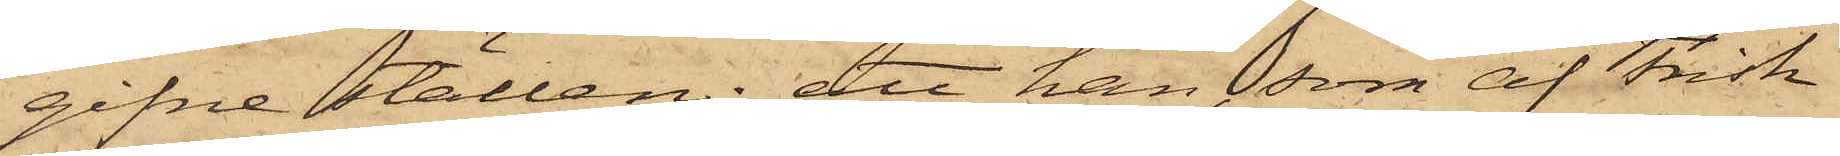gifne ställen; att han, som af Frisk
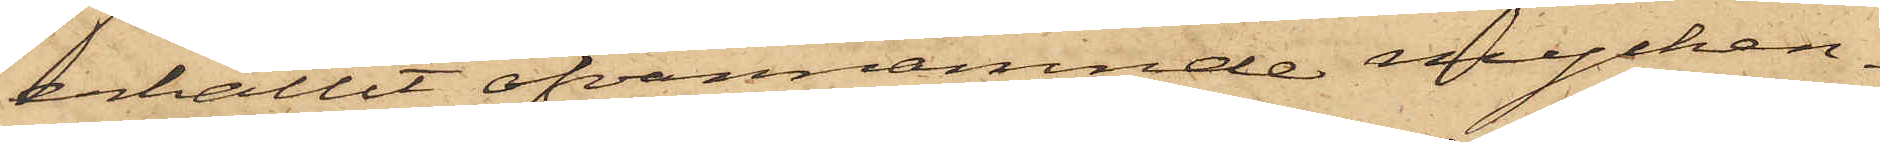erhållit ofvannämnde mycken¬
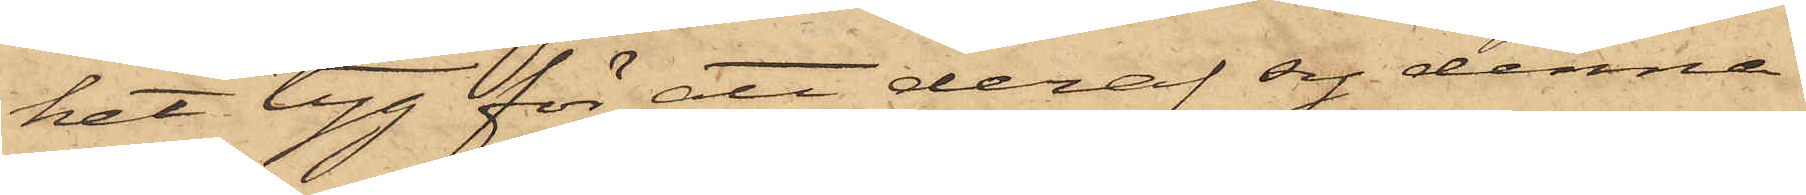het tyg för att deraf sy denne
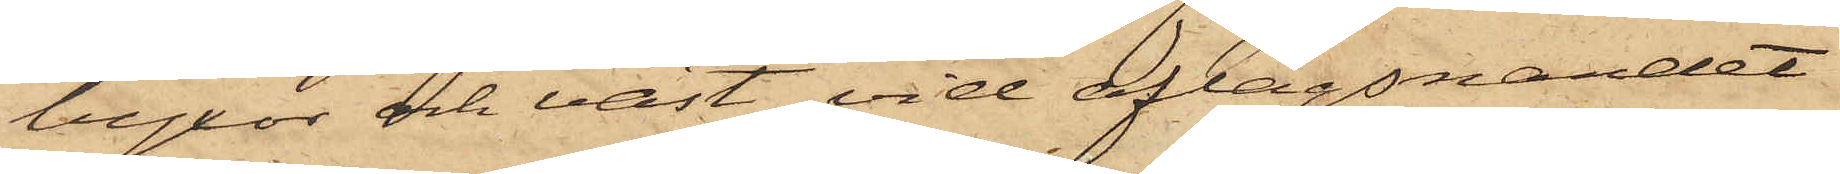byxor och väst, vid aflägsnandet
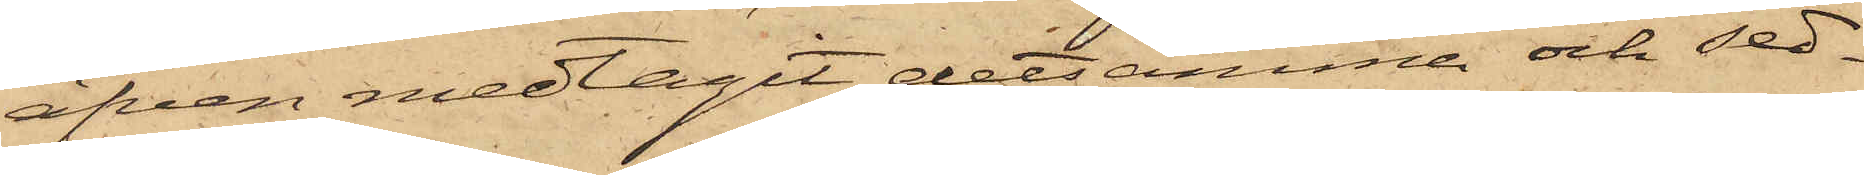äfven medtagit detsamma och sed¬
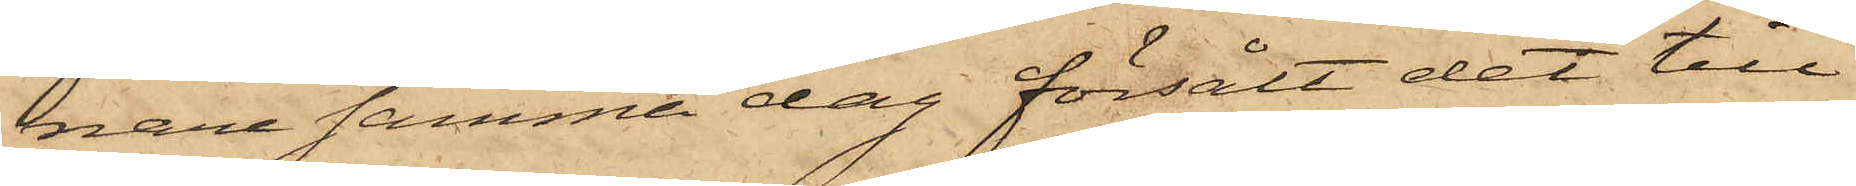nare samma dag försålt det till
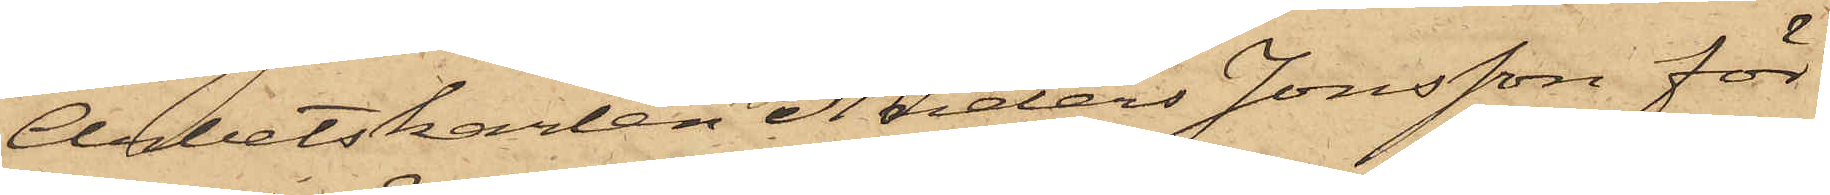Arbetskarlen Anders Jonsson för
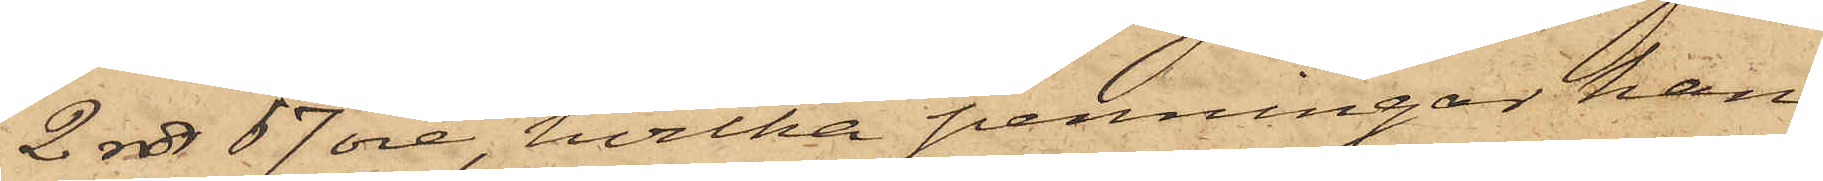2 rdr 67 öre, hvilka penningar han
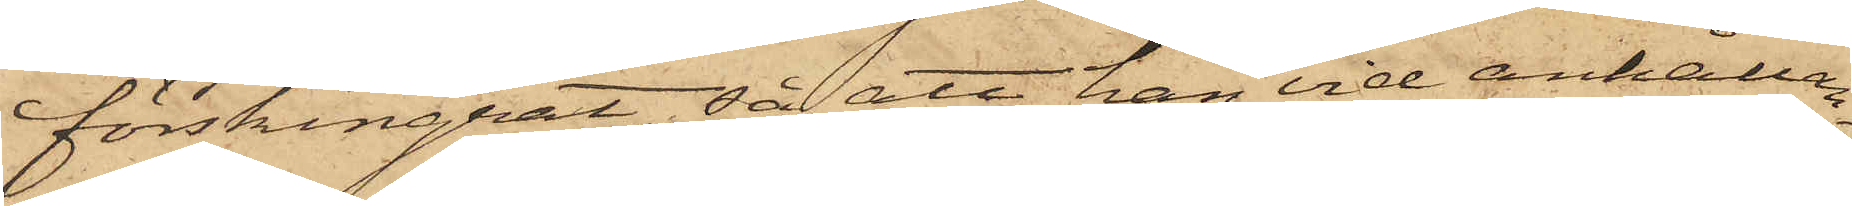förskingrat, så att han vid anhållan¬
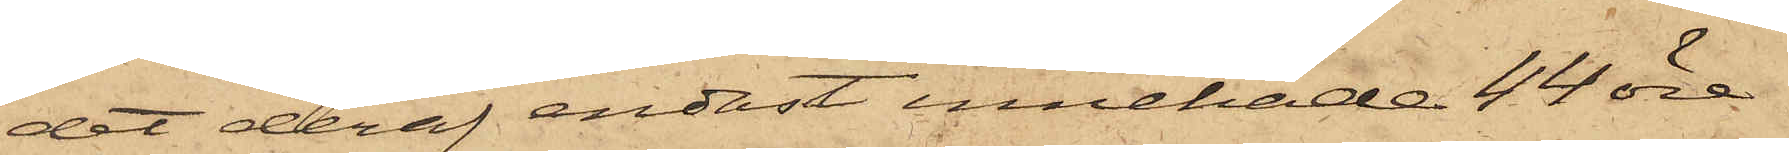det deraf endast innehade 44 öre.
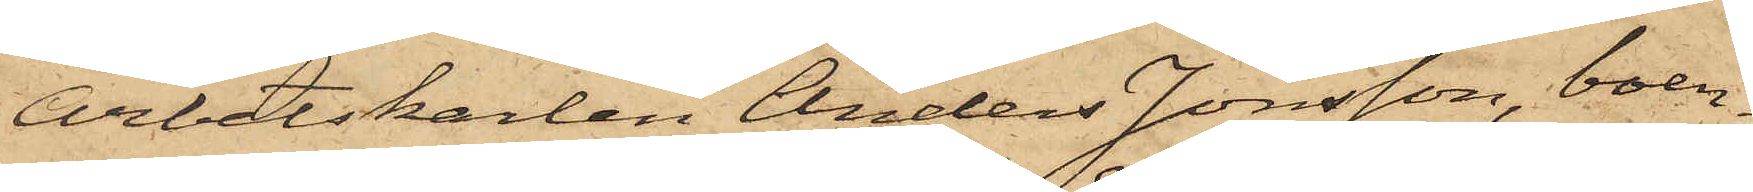Arbetskarlen Anders Jonsson, boen¬
